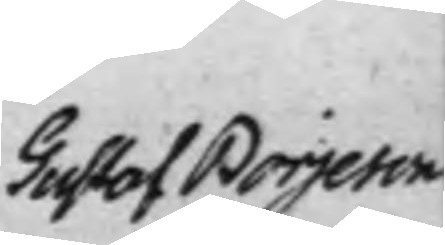Gustaf Börjeson
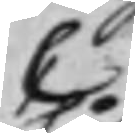C
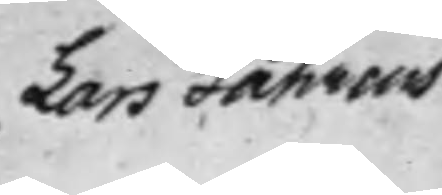Lars Fåhreus.
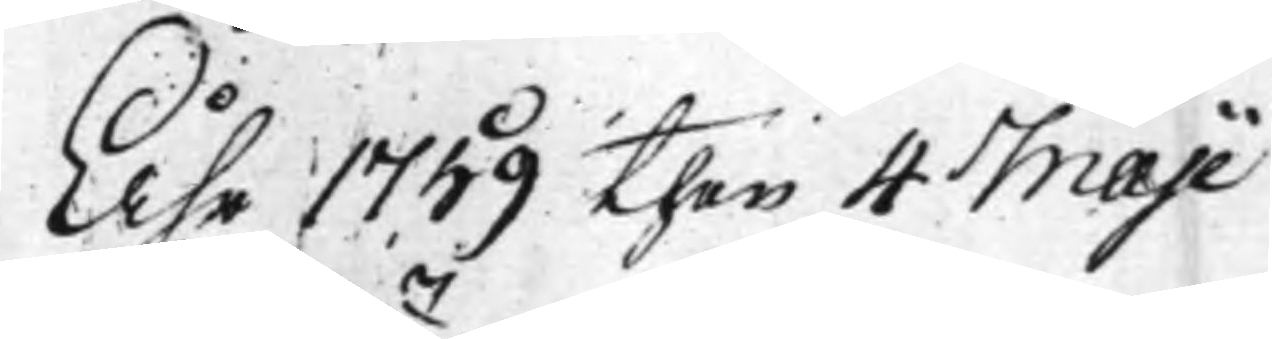Åhr 1759 then 4 Maji
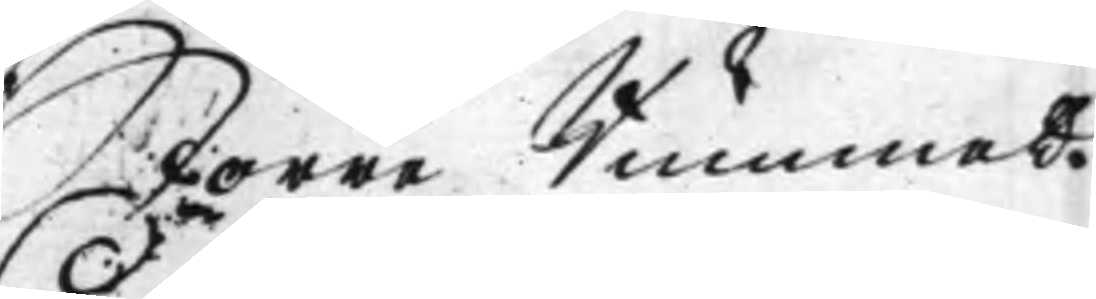Större Rummet.
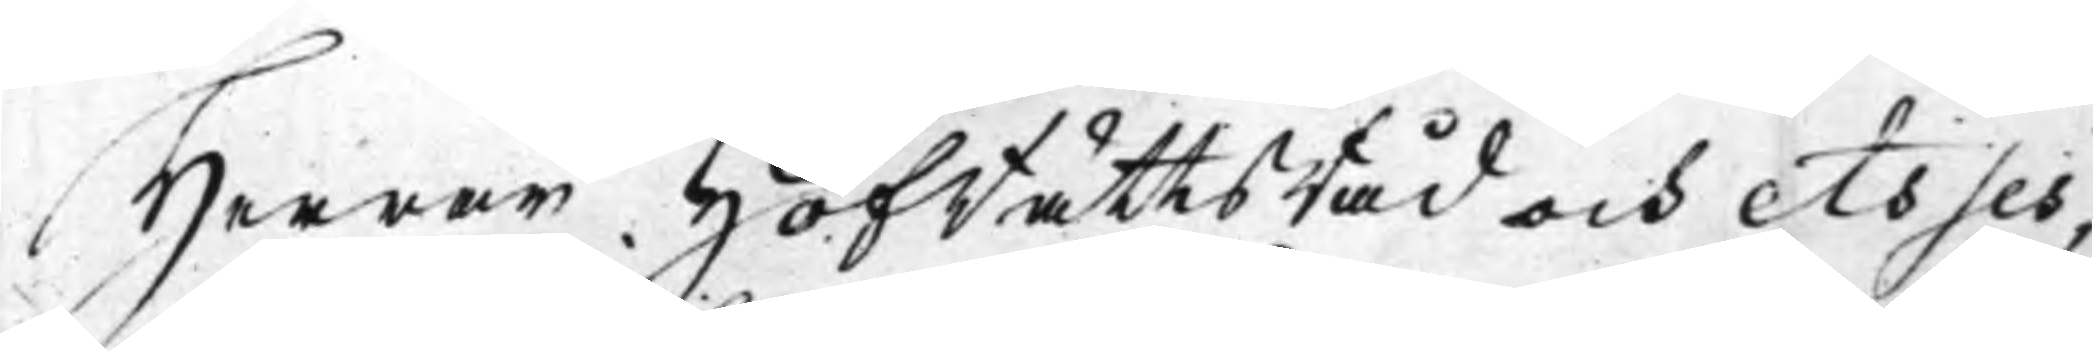Herrar HofRättsRåd och Asses¬
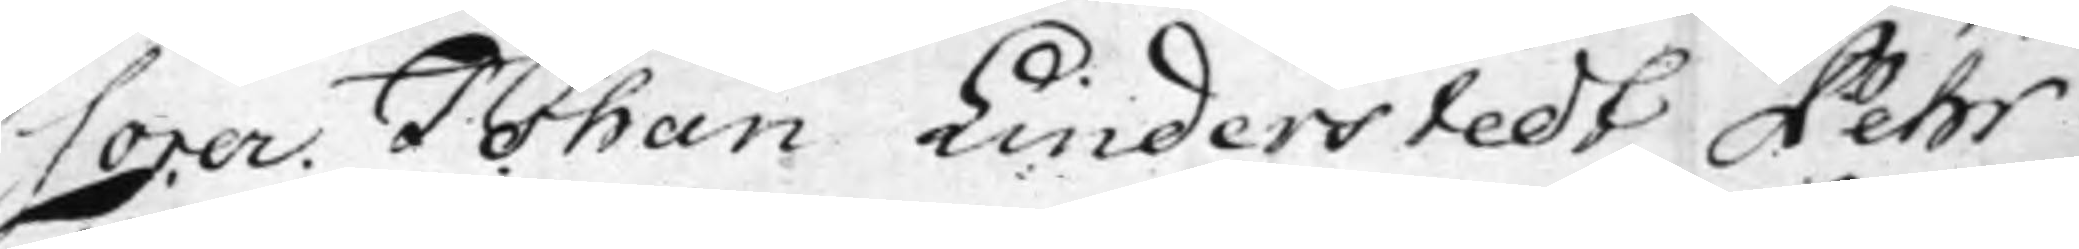sorer. Johan Linderstedt, Pehr
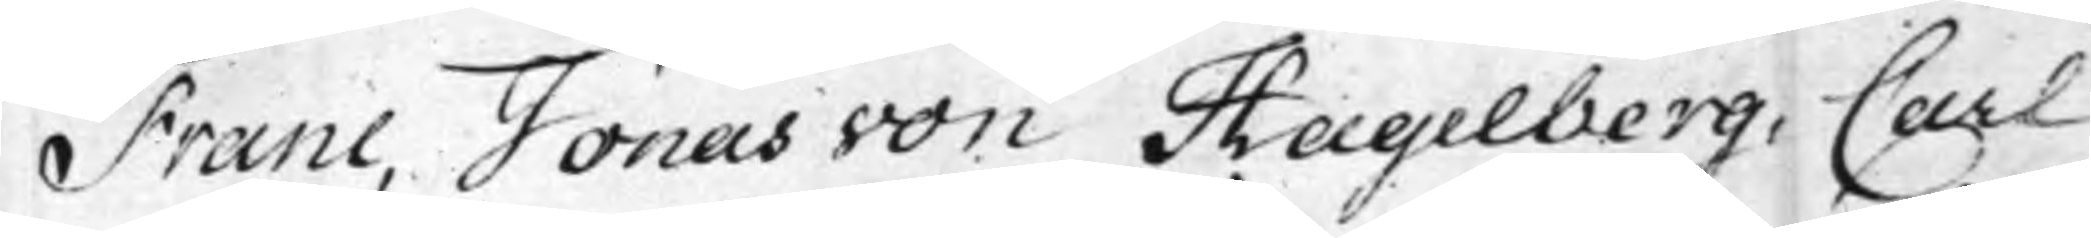Franc, Jonas von Hagelberg, Carl
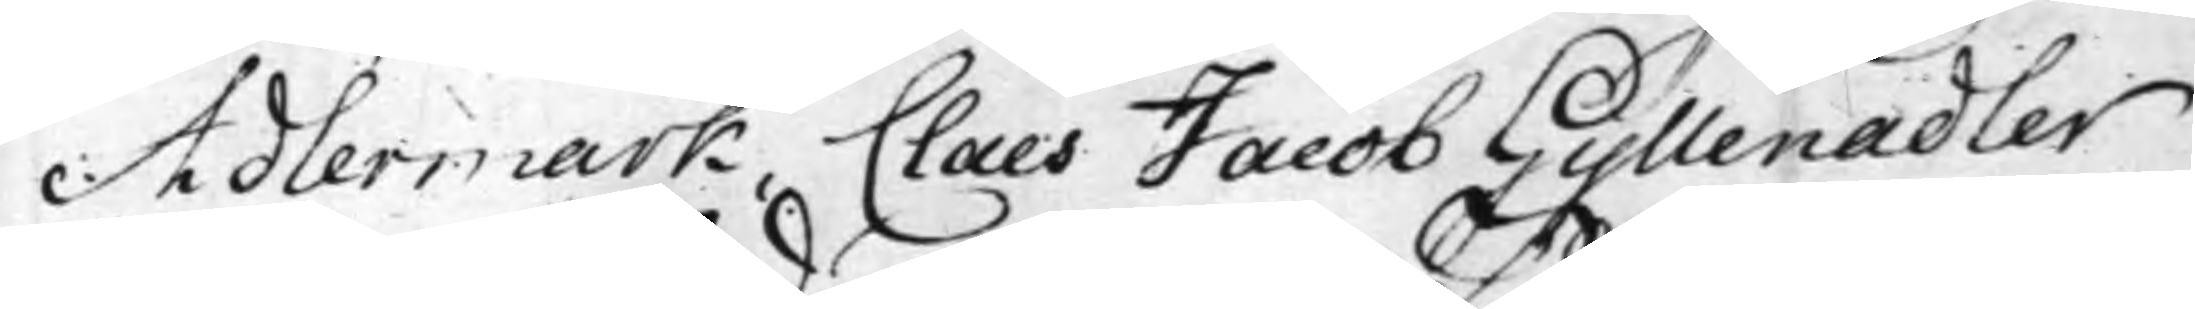Adlermark, Claes Jacob Gyllenadler
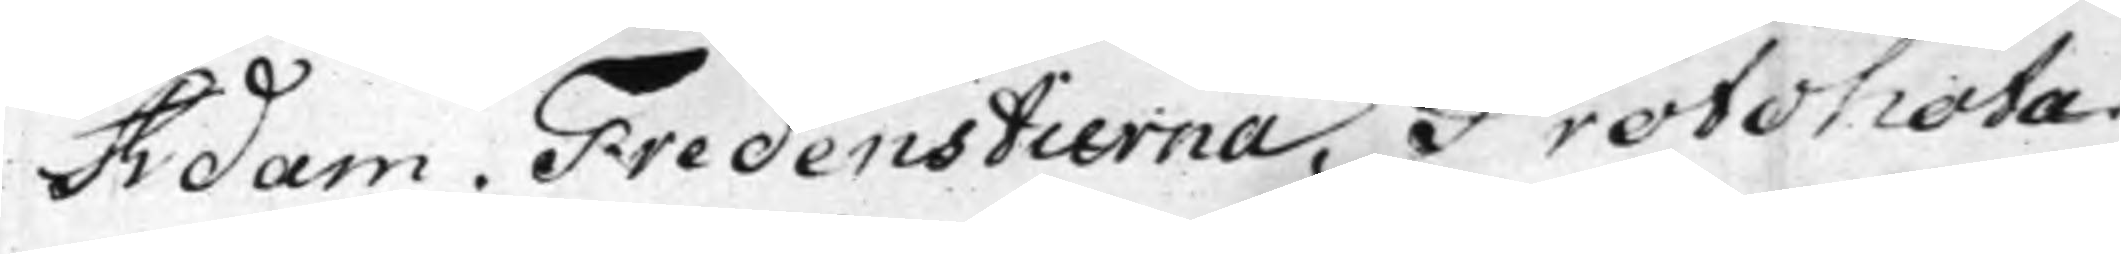Adam Fredenstierna, Protonota¬
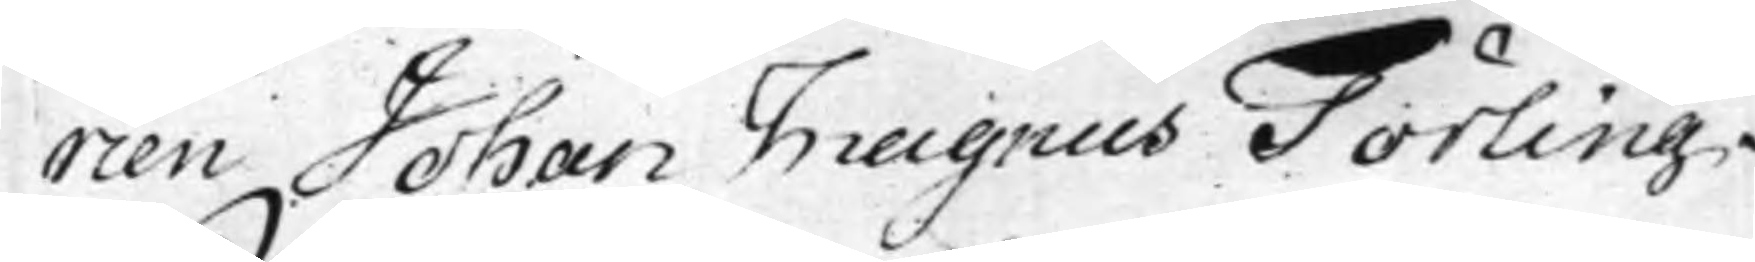rien Johan Magnus Törling.
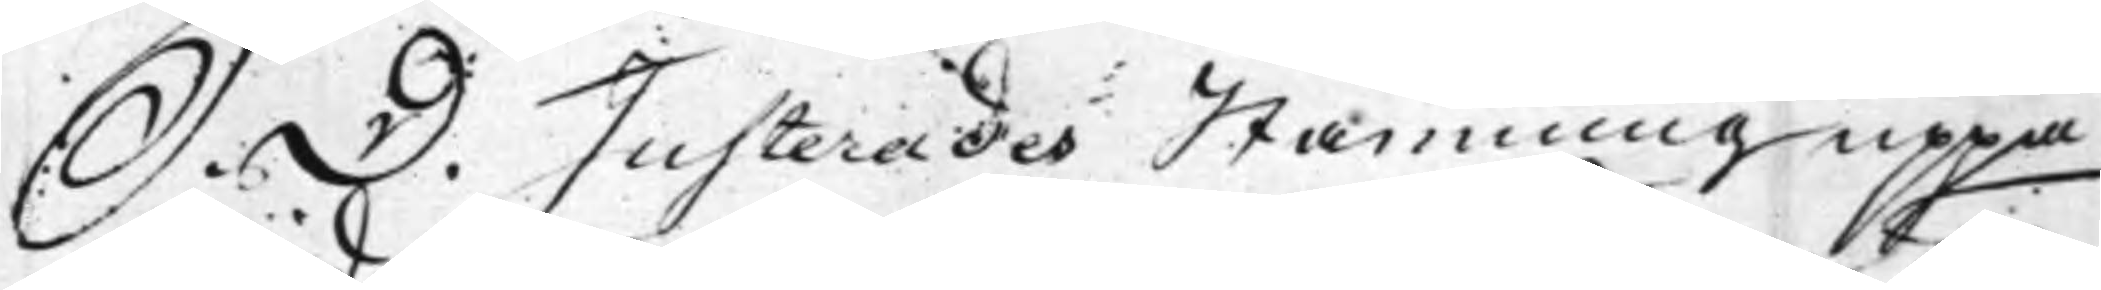S. D. Justerades Stämning uppå
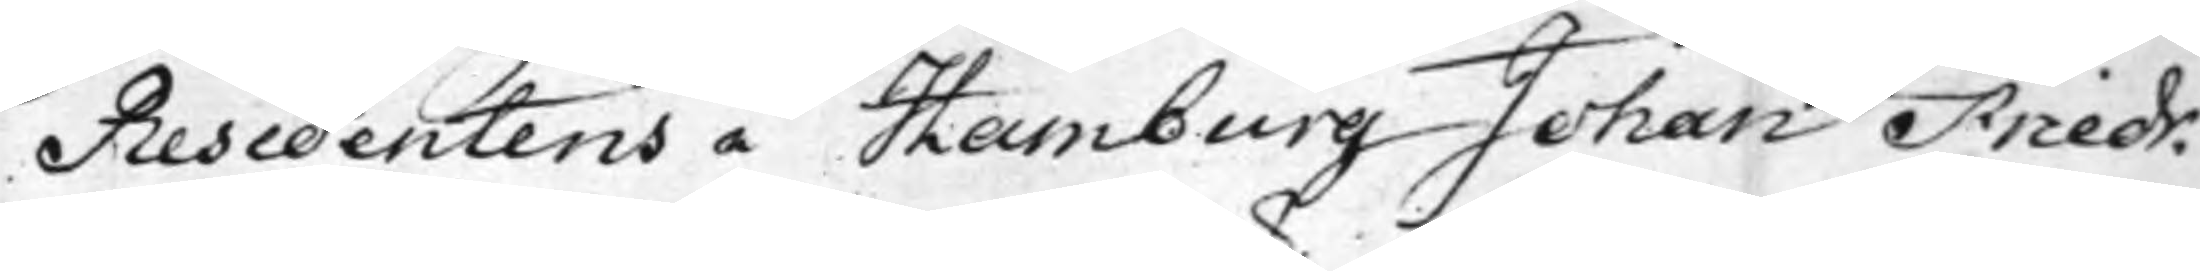Residentens i Hamburg Johan Friedr.
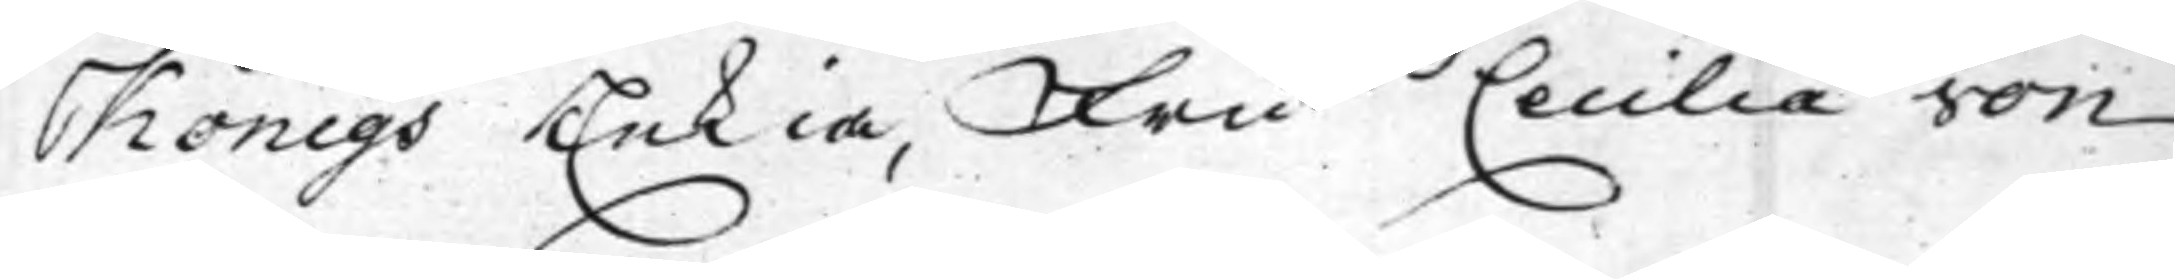Königs Enkia, Fru Cecilia von
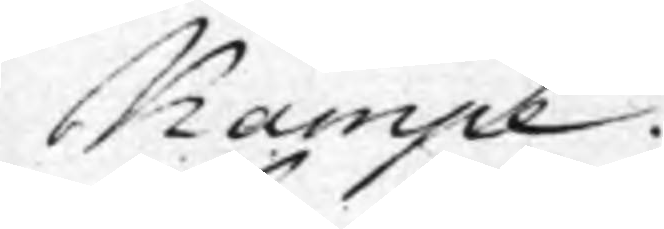Kampe.
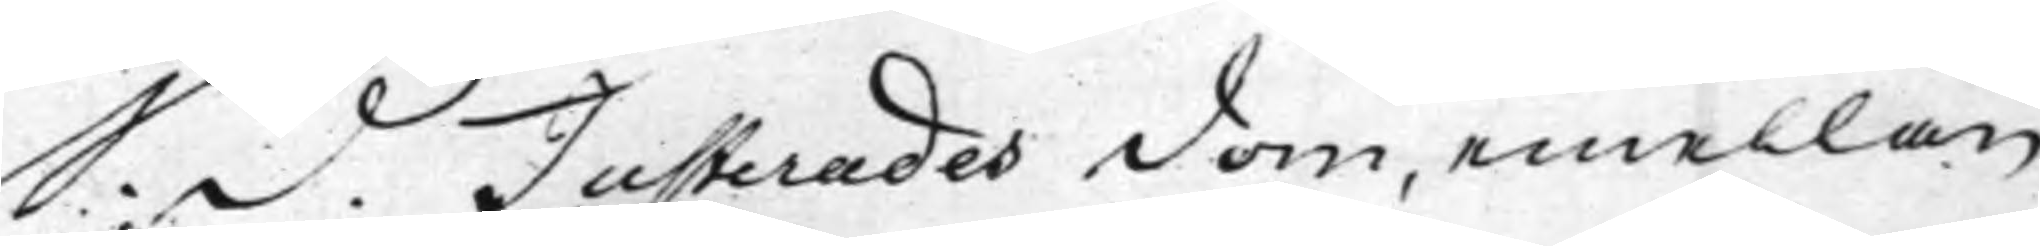S. d. Justerades dom, emellan
